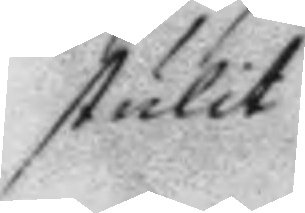stulit
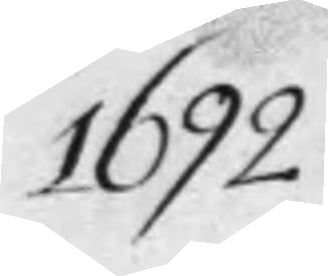1692
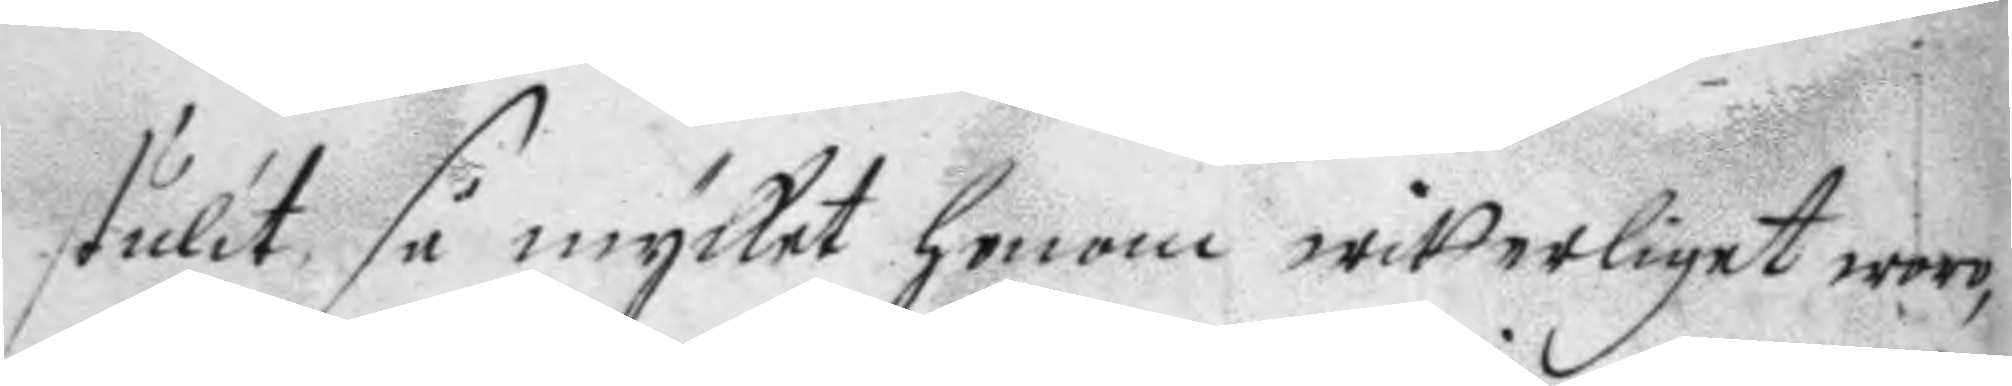stulit så mycket honom witterliget woro,
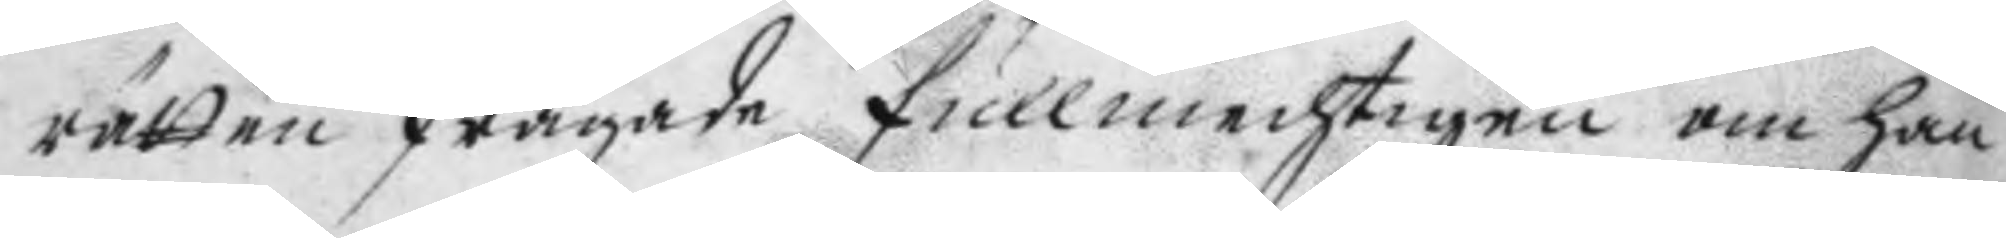rätten frågade fullmechtigen om han
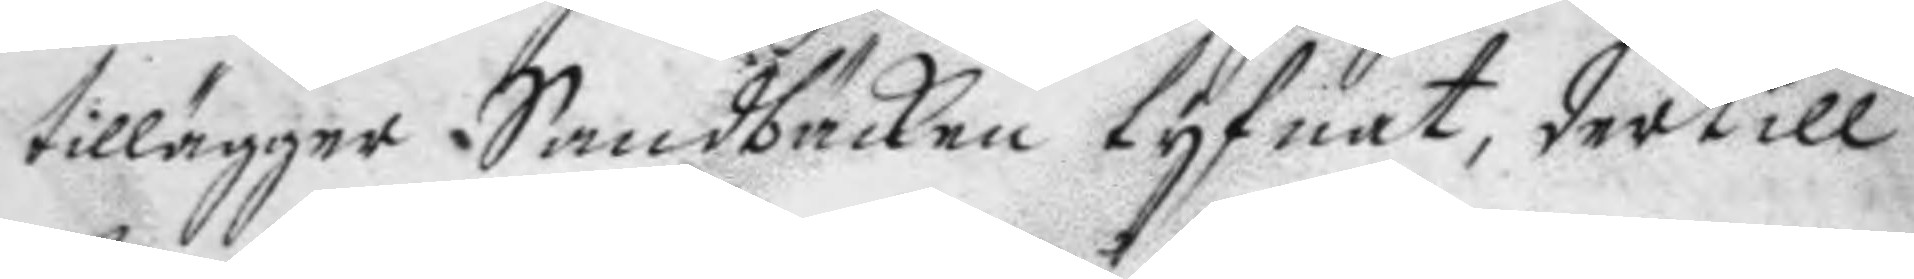tillägger Sandbäcken tyfnat, dertill
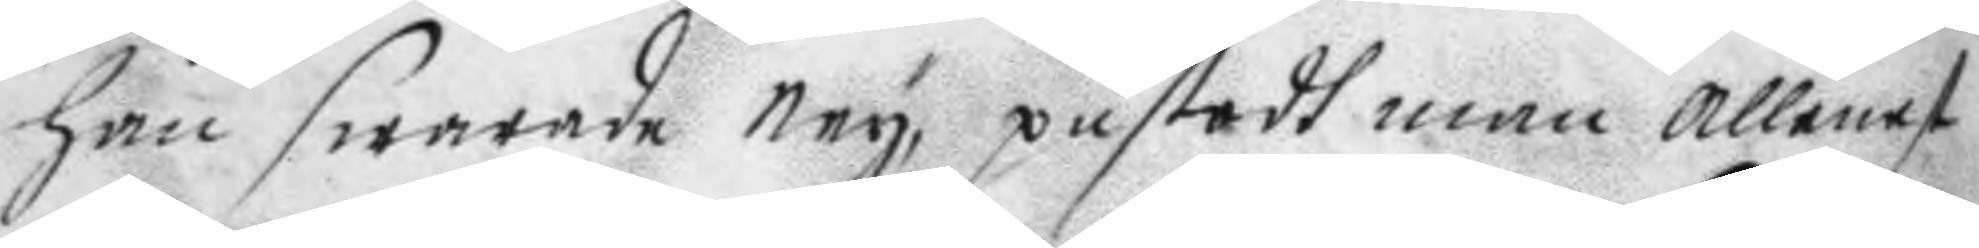han swarade ney, påstodh man allenast
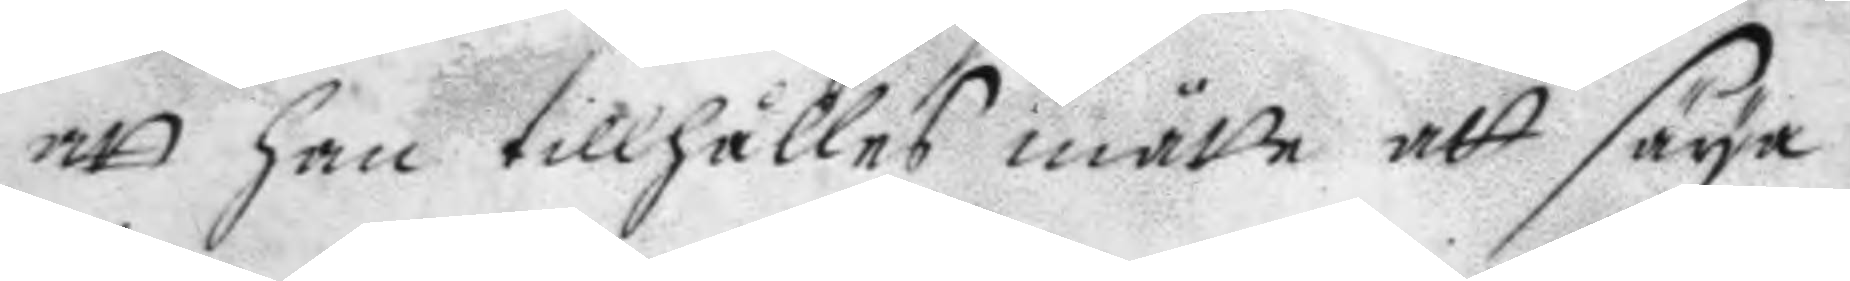att han tillhålles måtte att säya
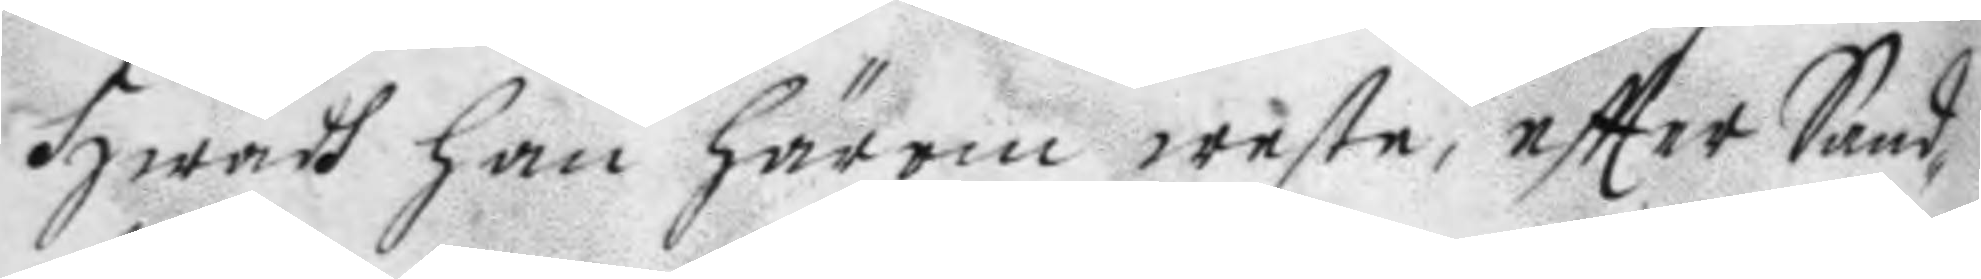hwadh han härom weste, eftter Sand¬
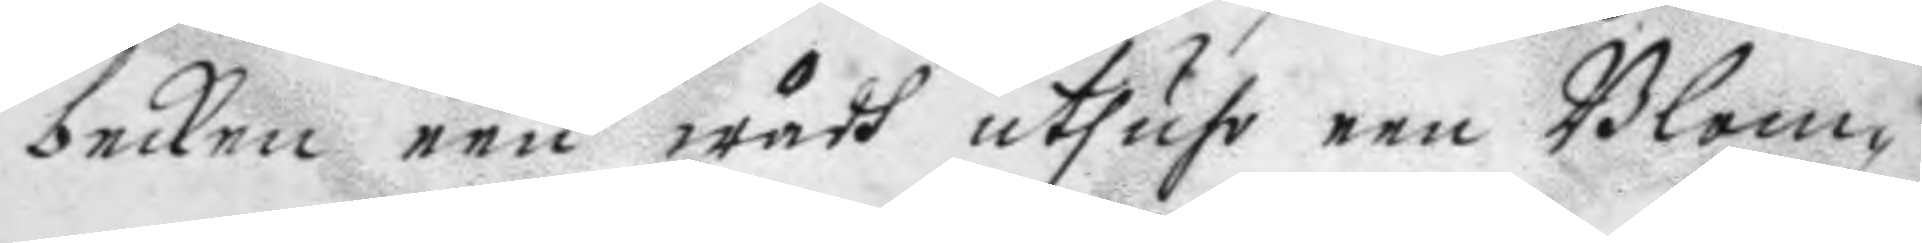becken een wådh athufv een Blom¬
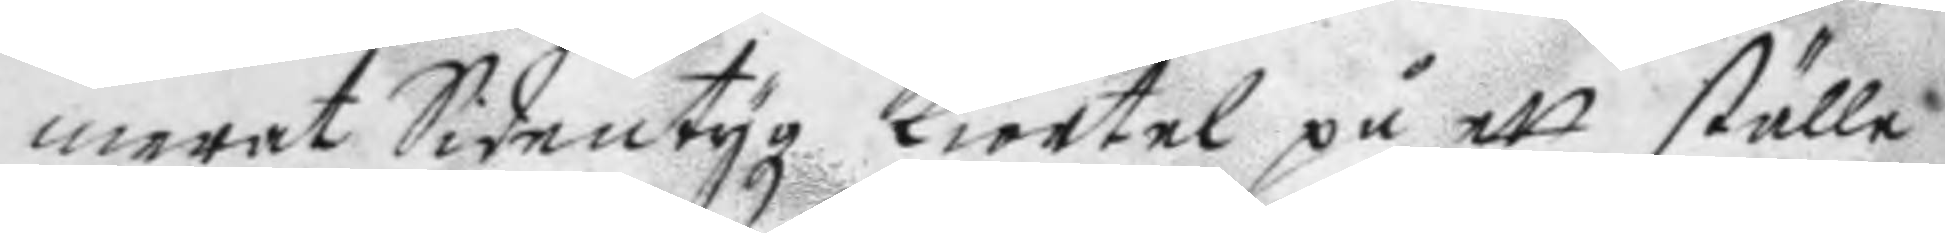merat Sidentygz kiortel på ett ställe
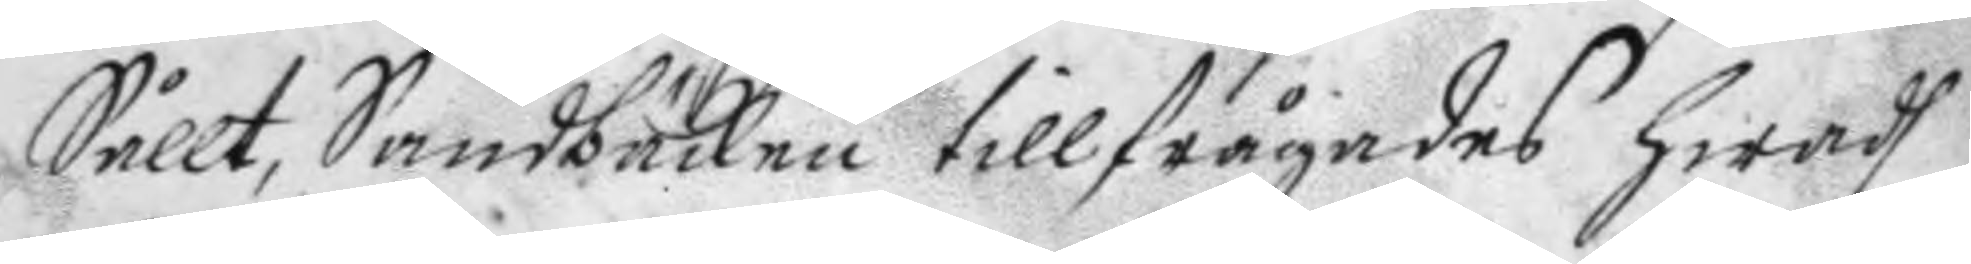Sållt, Sandbäcken tillfrågades hwadh
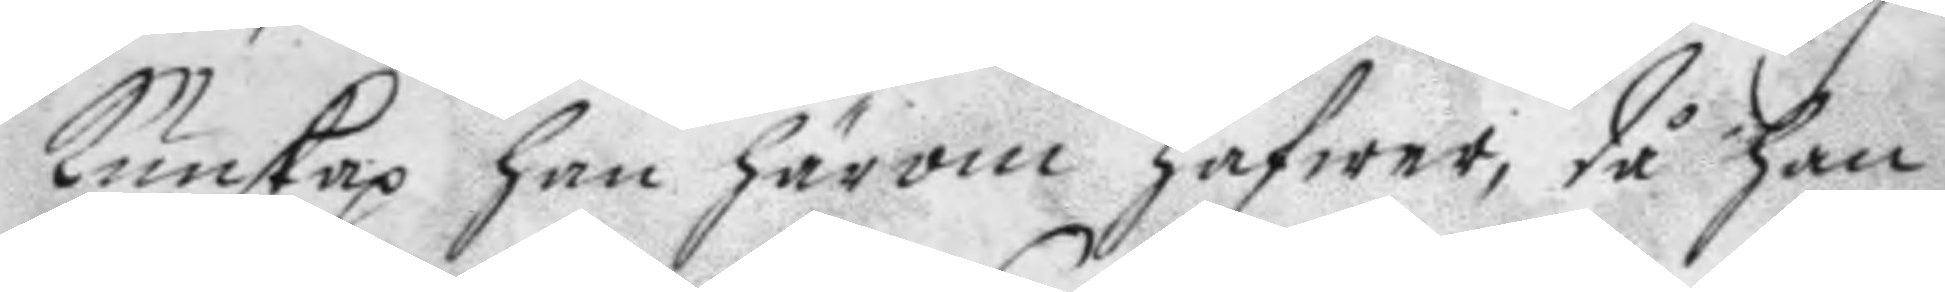kunskap han härom hafwr, då han
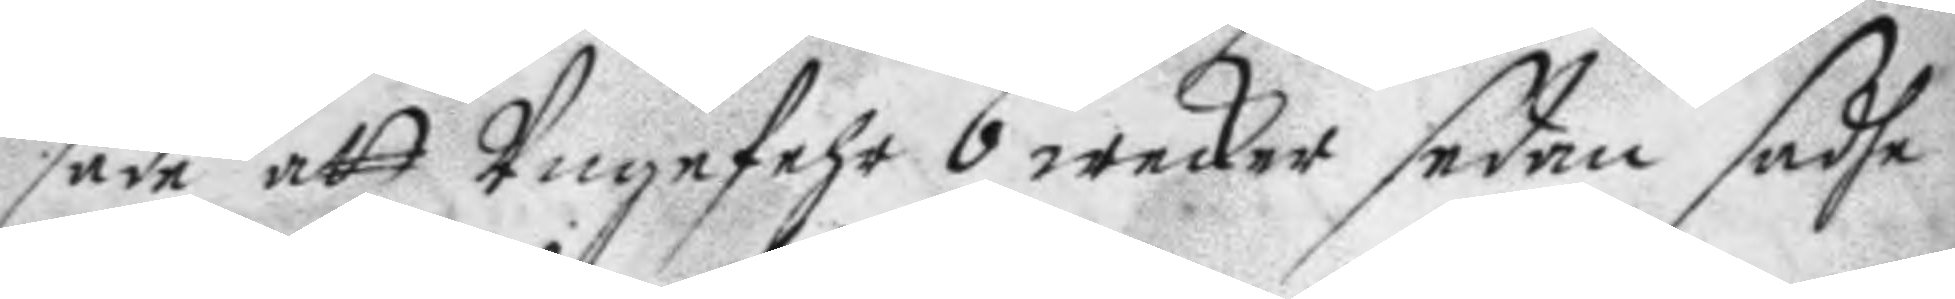sade att Ungefehr 6 wecker sedan sadhe
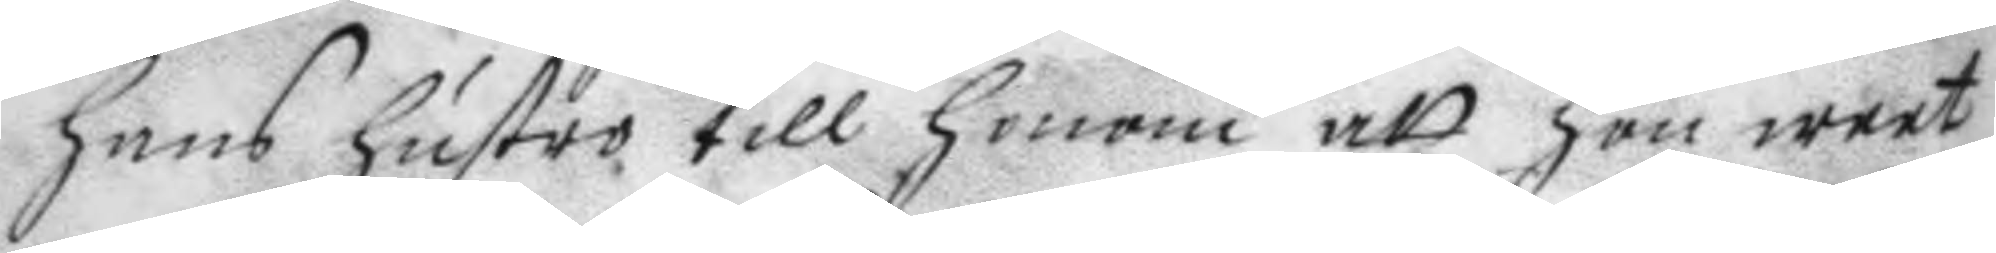hans hustro till honom att hon weet
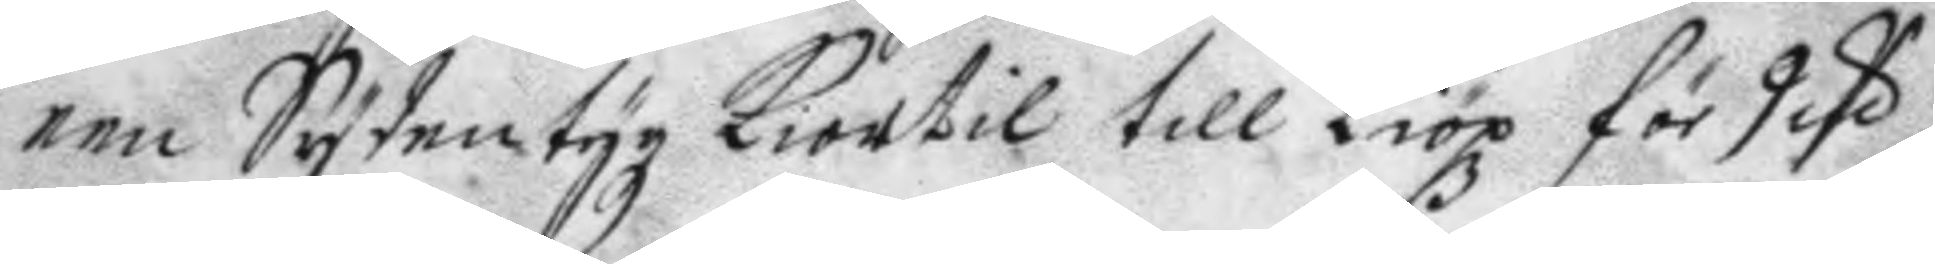een Sydentygz kiortil till kiöpz för deß
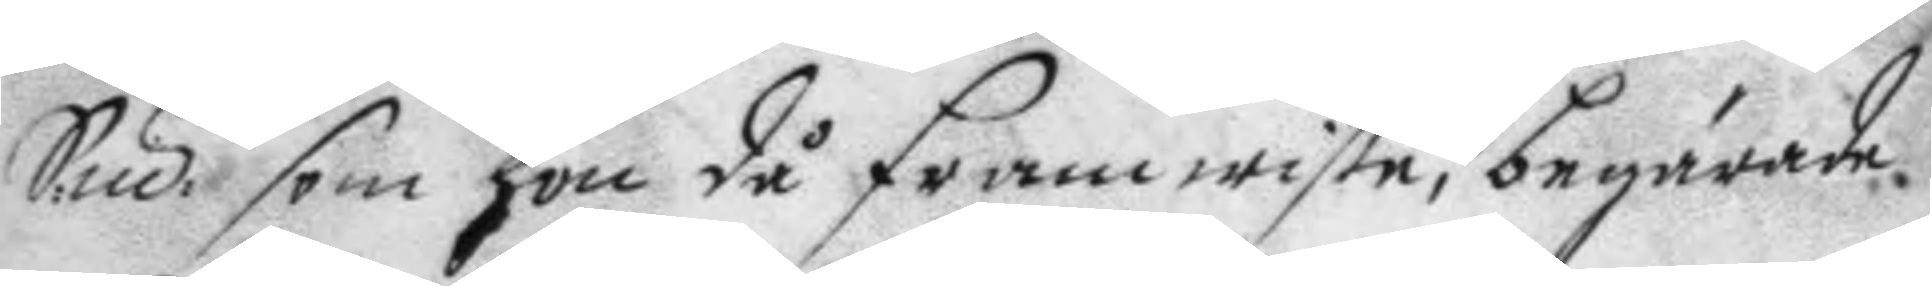S:mt: som hon då framwiste, begärade
